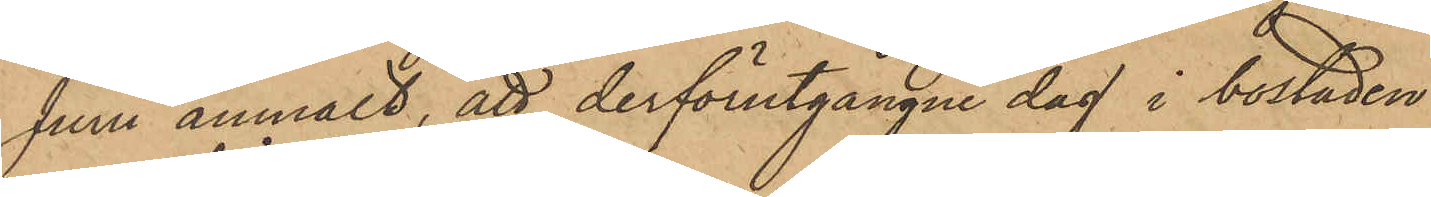Juni anmält, att derförutgångne dag i bostaden
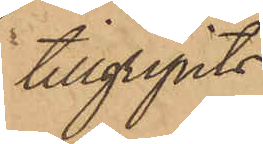tillgripits
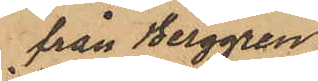från Berggren
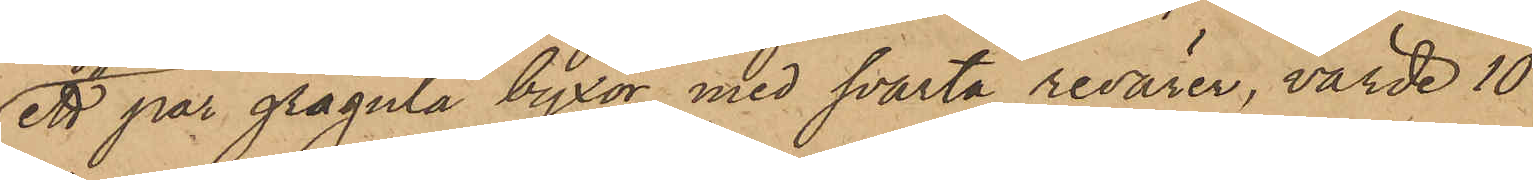ett par grågula byxor med svarta revärer, värde 10
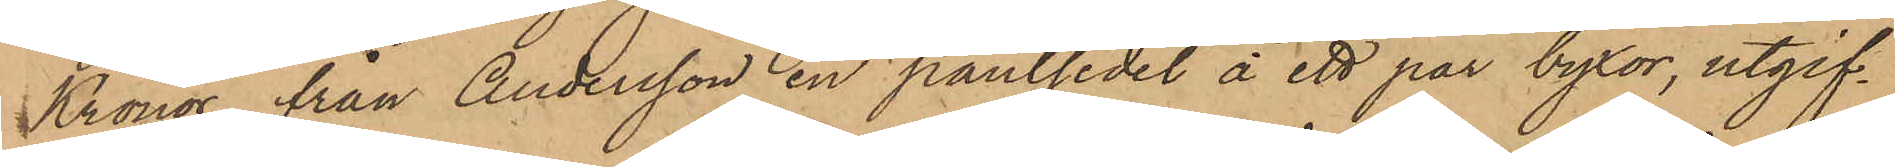Kronor, från Andersson en pantsedel å ett par byxor, utgif¬
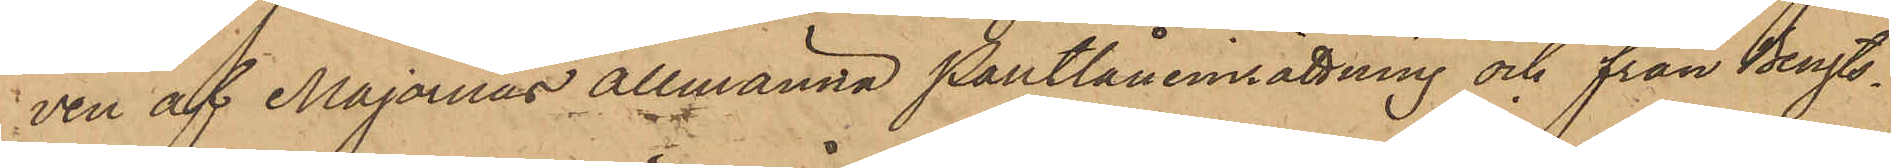ven af Majornas Allmänna Pantlåneinrättning och från Bengts¬
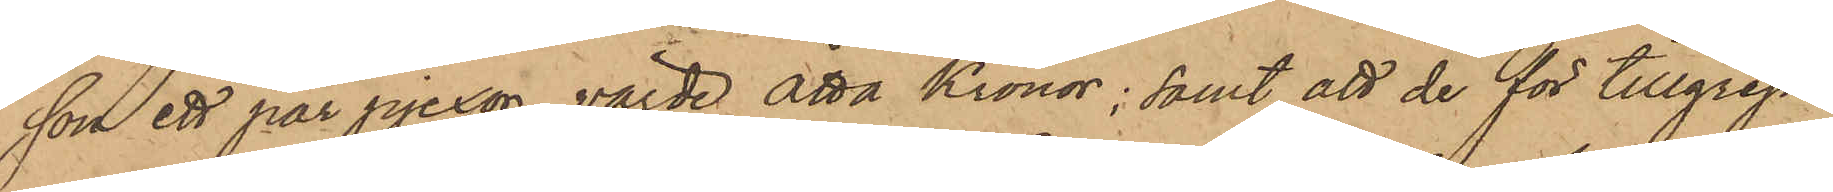son ett par pjexor, värde Åtta Kronor; samt att de för tillgrep¬
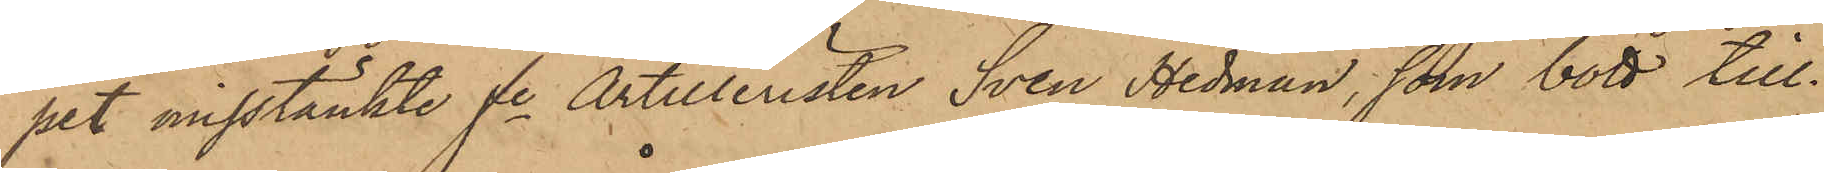pet misstänkte fe Artilleristen Sven Hedman, som bott till¬
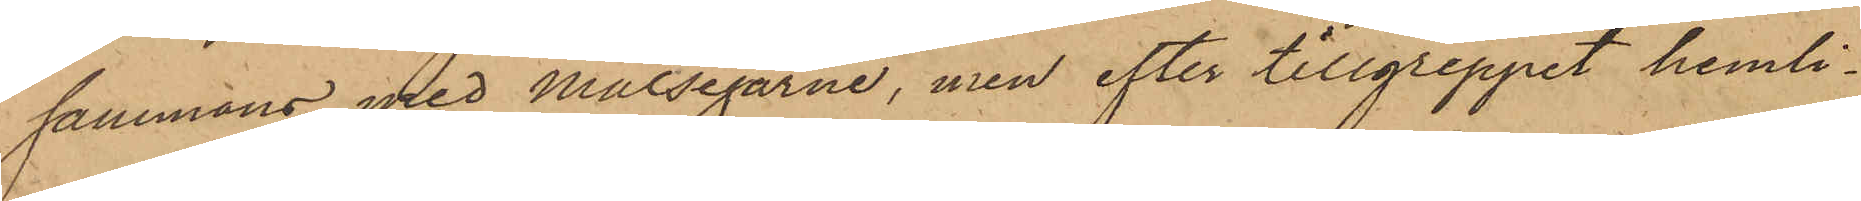sammans med Målsegarne, men efter tillgreppet hemli¬
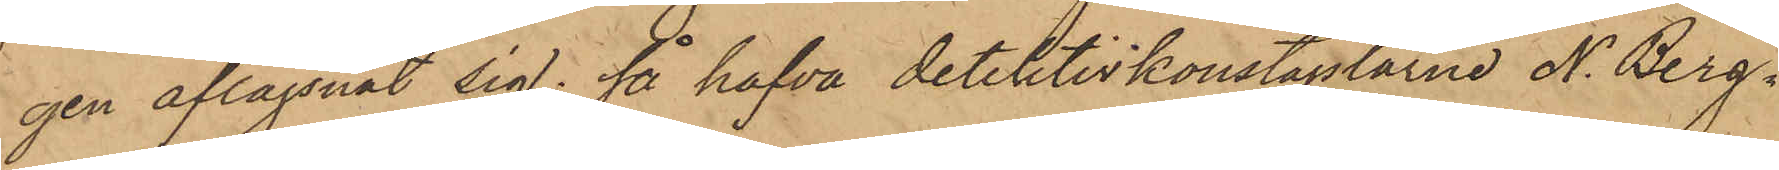gen aflägsnat sig; så hafva detektivkonstaplarne N. Berg¬
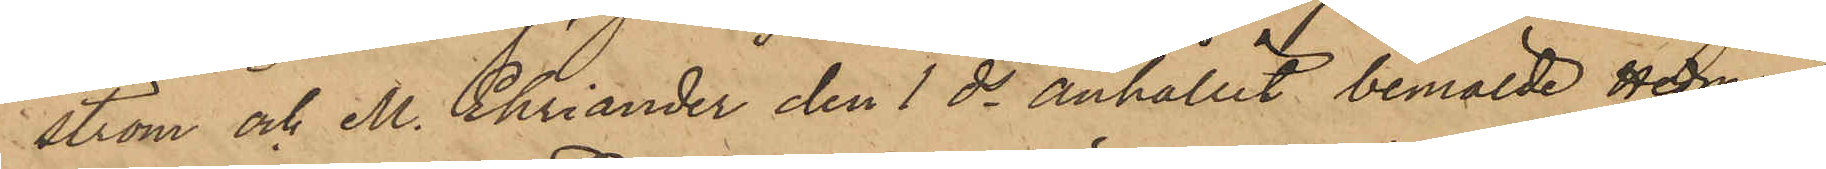ström och M. Ehriander den 1 ds anhållit bemälde Hedman,
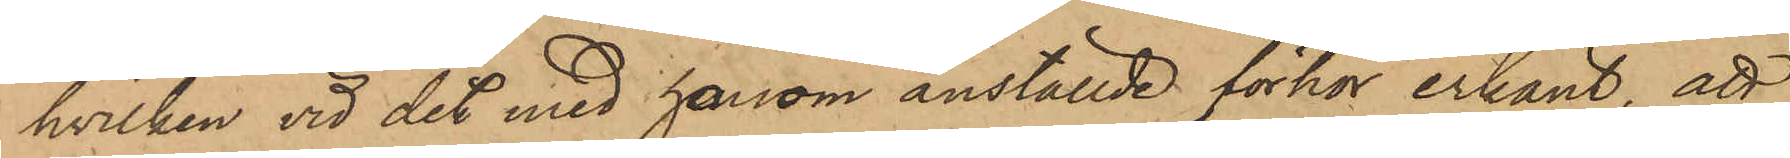hvilken vid det med honom anställde förhör erkänt, att
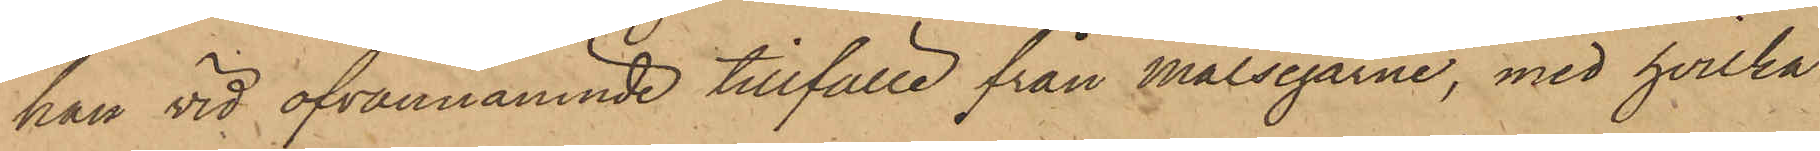han vid ofvannämnde tillfälle från Målsegarne, med hvilka
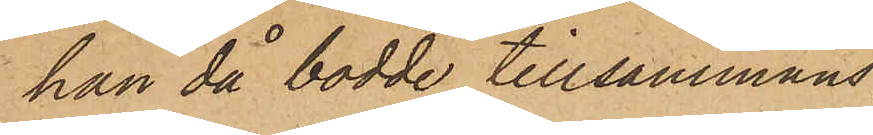han då bodde tillsammans
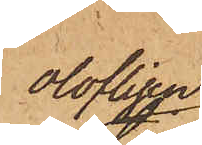olofligen
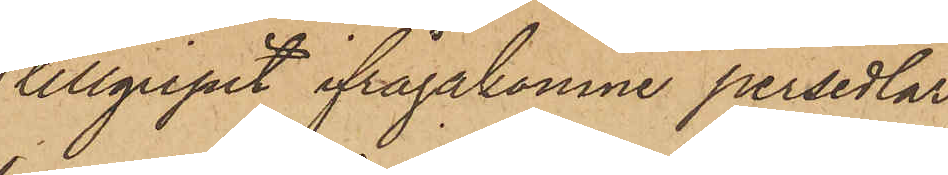tillgripit ifrågakomne persedlar,
